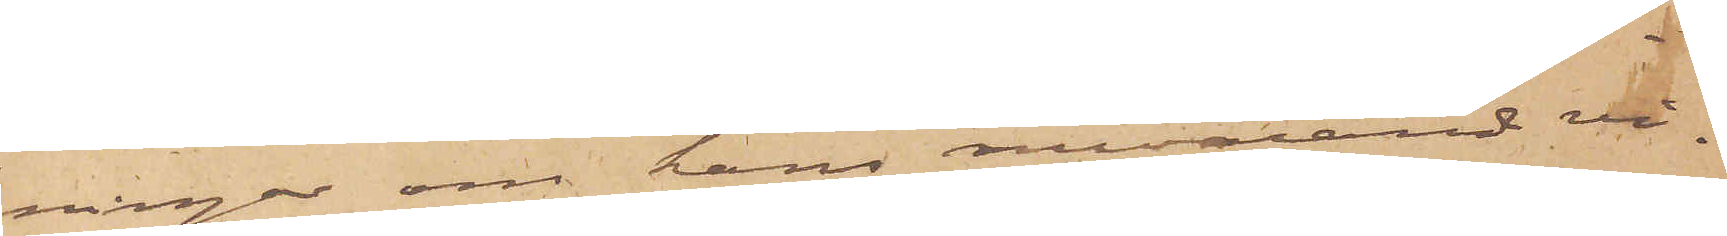ningar om hans nuvarande vi¬
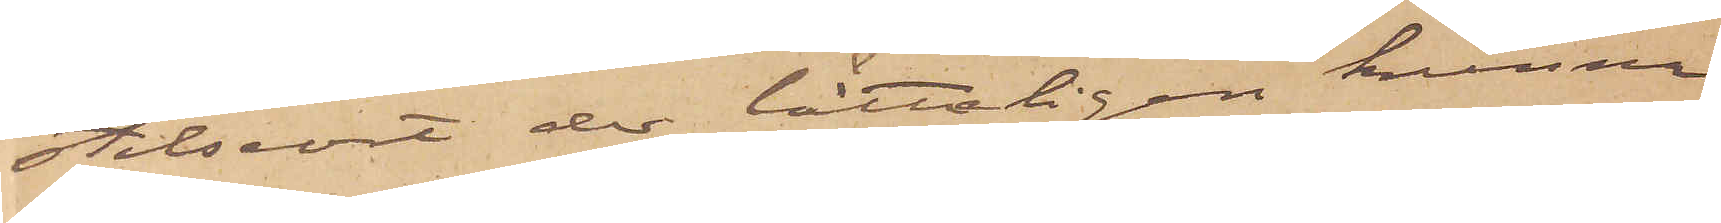stelseort der lätteligen kunna
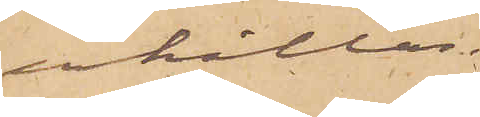erhållas.
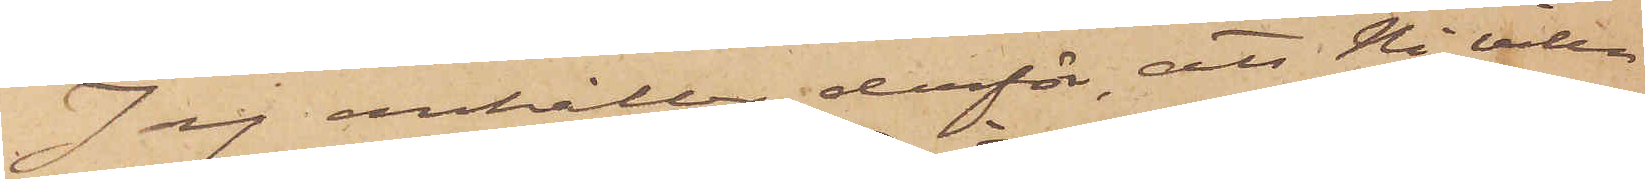Jag anhåller derför, att Ni ville
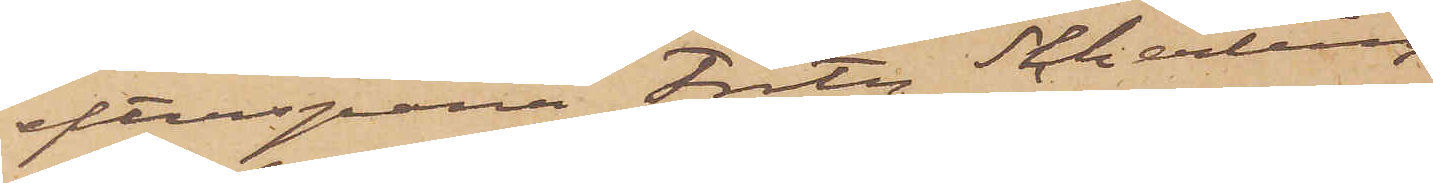efterspana Fritz Scherling
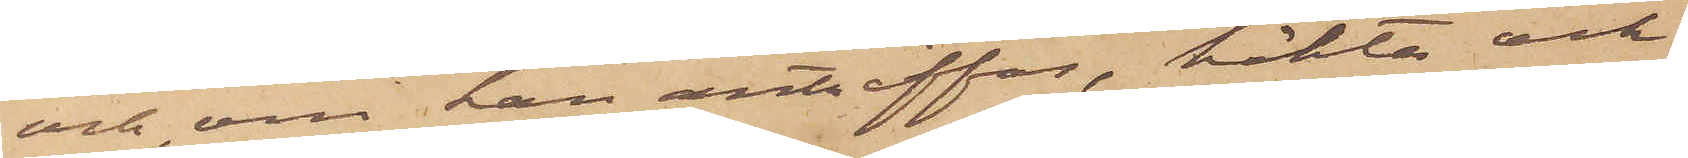och, om han anträffas, häkta och
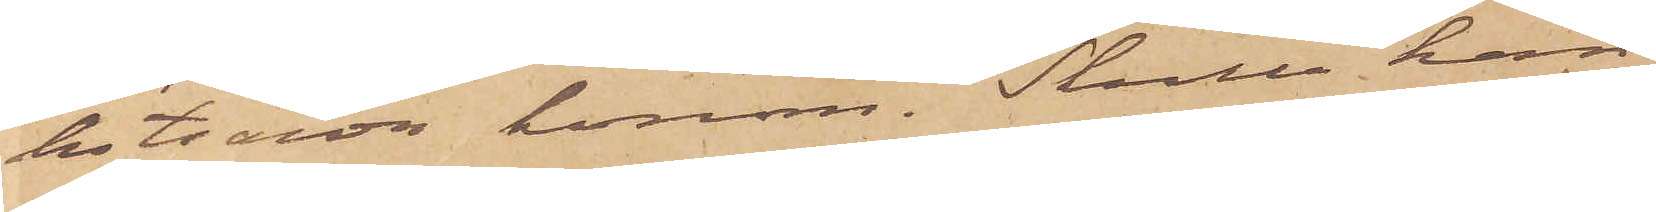hitsända honom. Skulle han
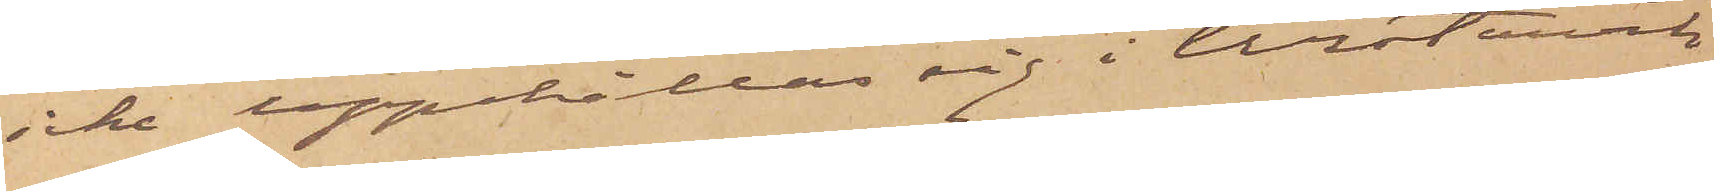icke uppehålla sig i Westervik
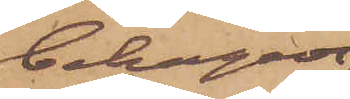behagade
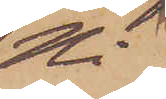Ni 
